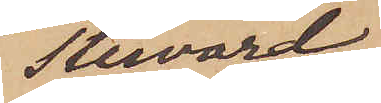Steward
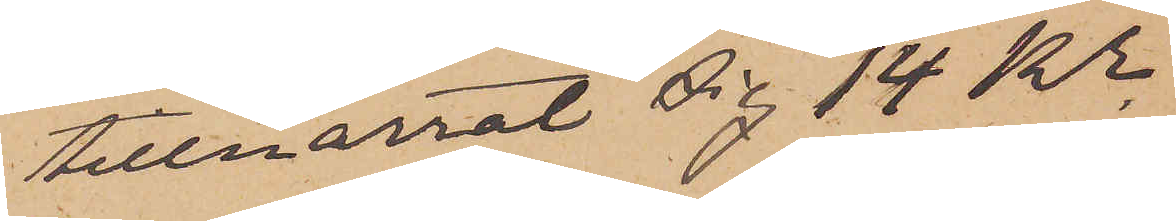tillnarrat sig 14 Kr
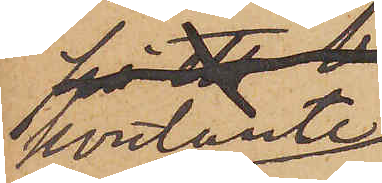kontante
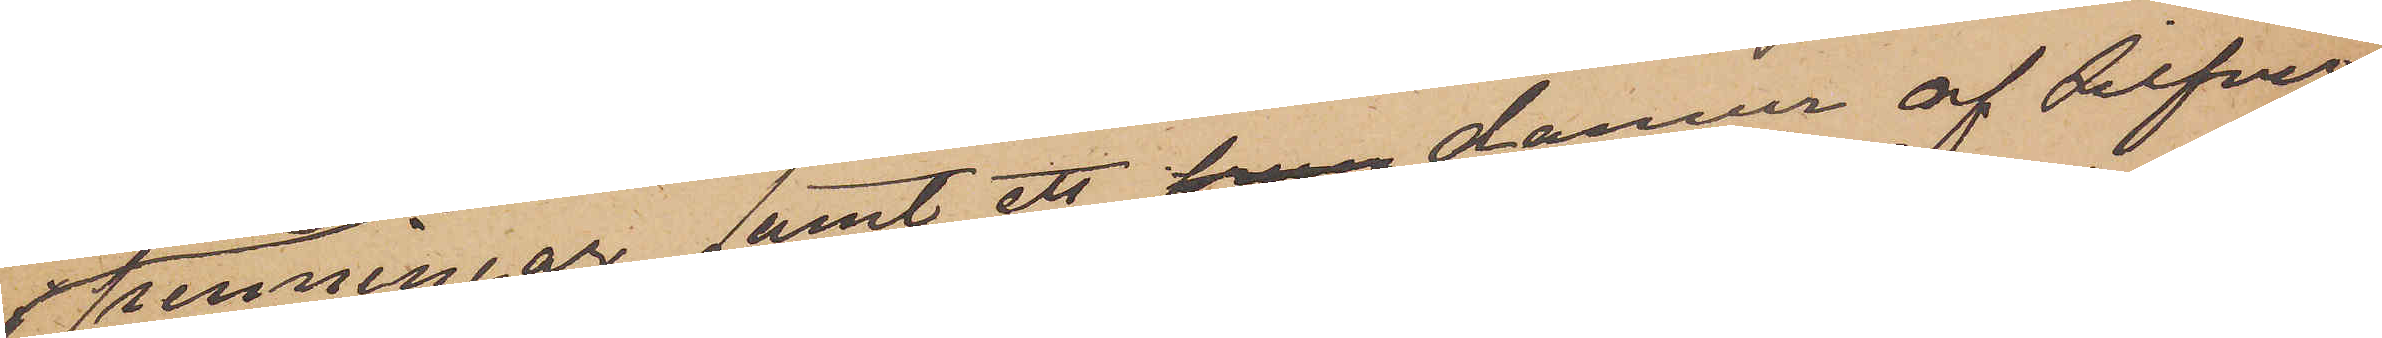penningar samt ett från damur af silfver
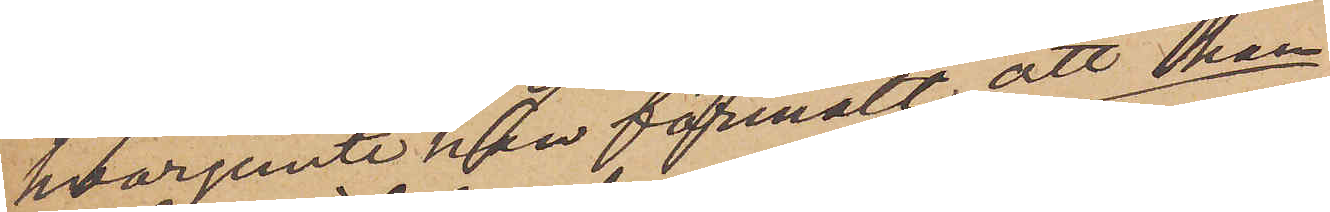hvarjemte han förmält att han
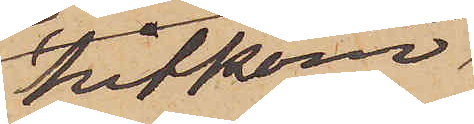hitkom¬
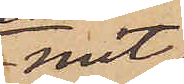mit
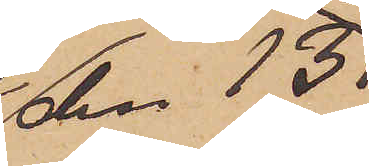den 13
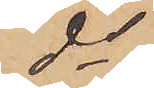ds
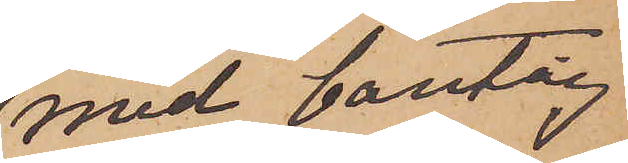med bantåg
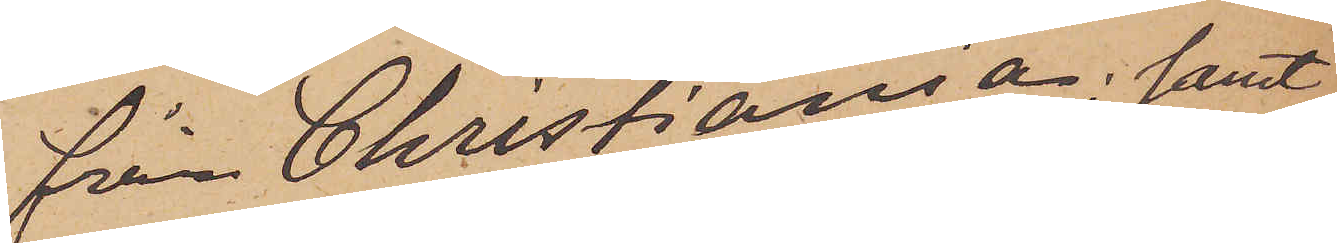från Christiania; samt
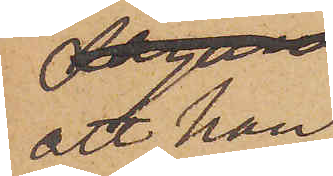att han
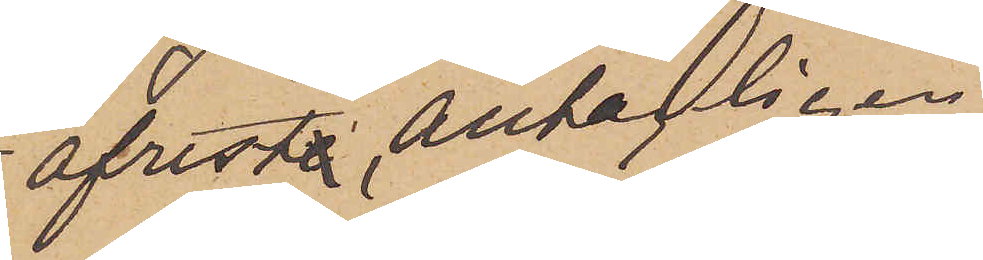afreste, antagligen
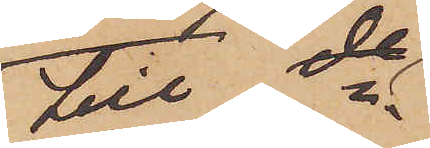till do
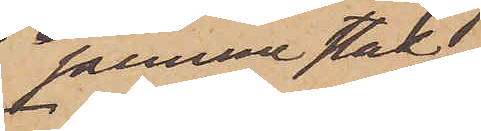samma stad
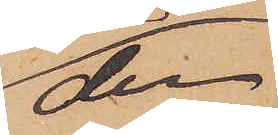den
